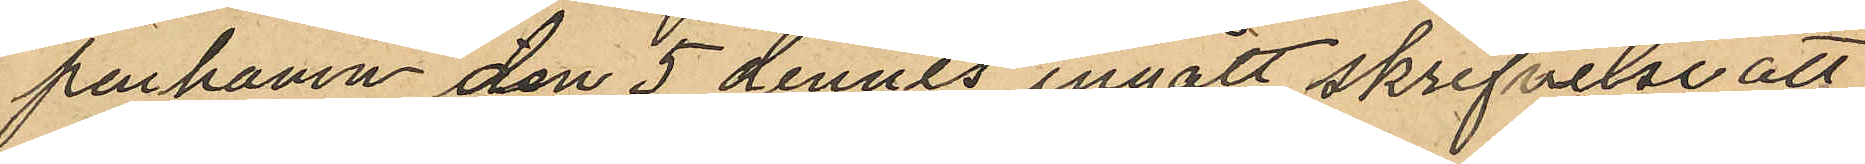penhamn den 5 dennes ingått skrifvelse att
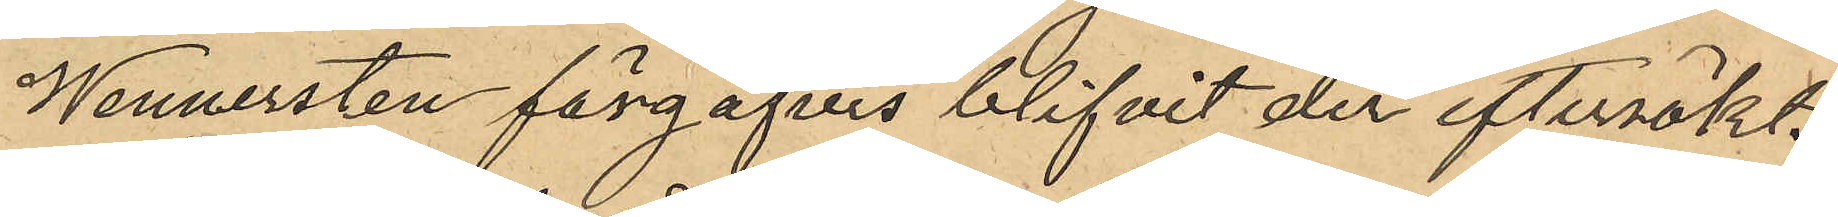Wennersten förgäfves blifvit der eftersökt.
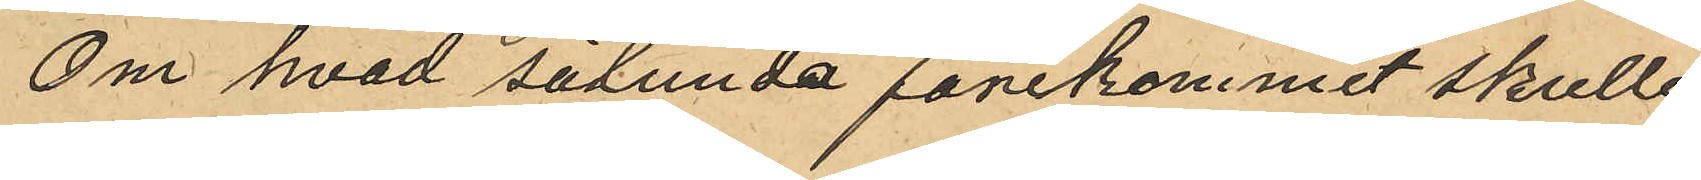Om hvad sålunda förekommit skulle
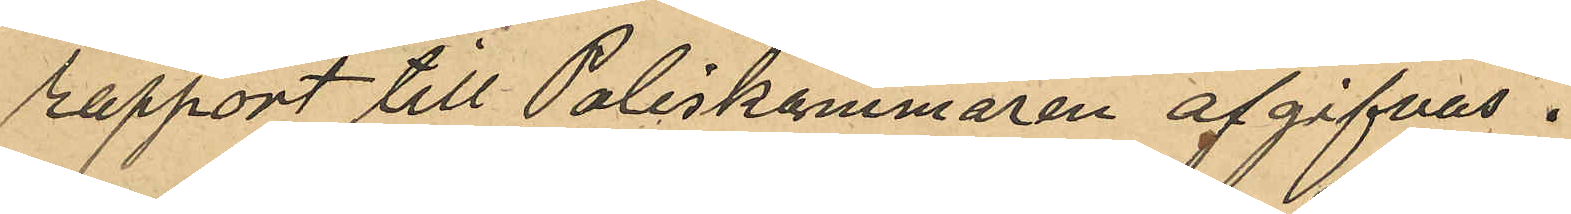rapport till Poliskammaren afgifvas.
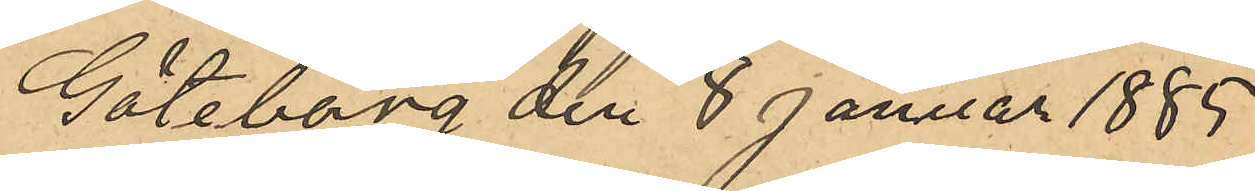Göteborg den 8 Januar 1885.
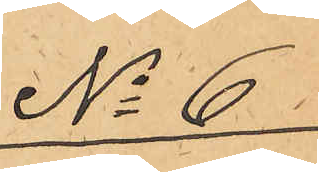No 6.
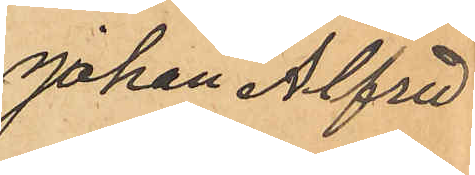Johan Alfred
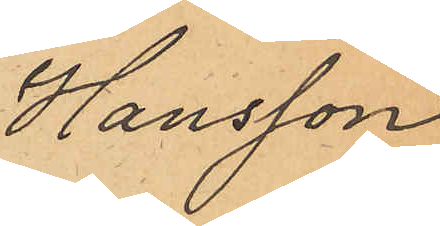Hansson
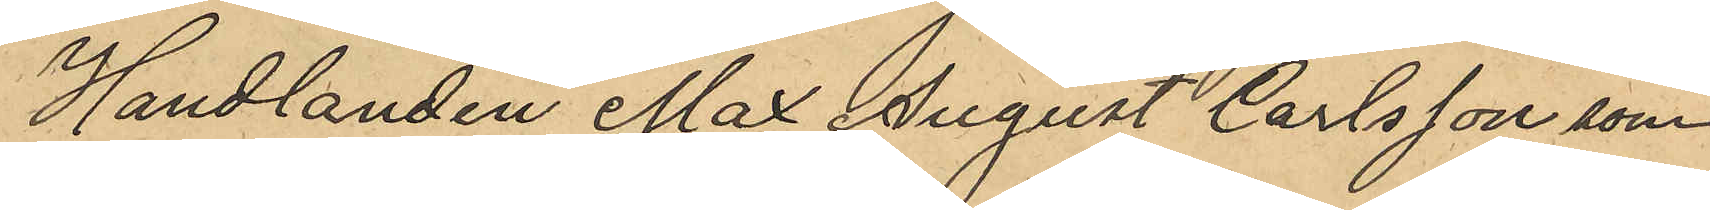Handlanden Max August Carlsson som
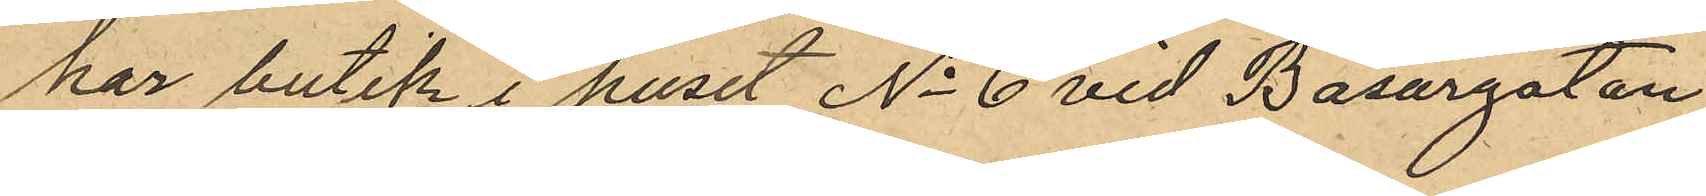har butik i huset No 6 vid Basargatan
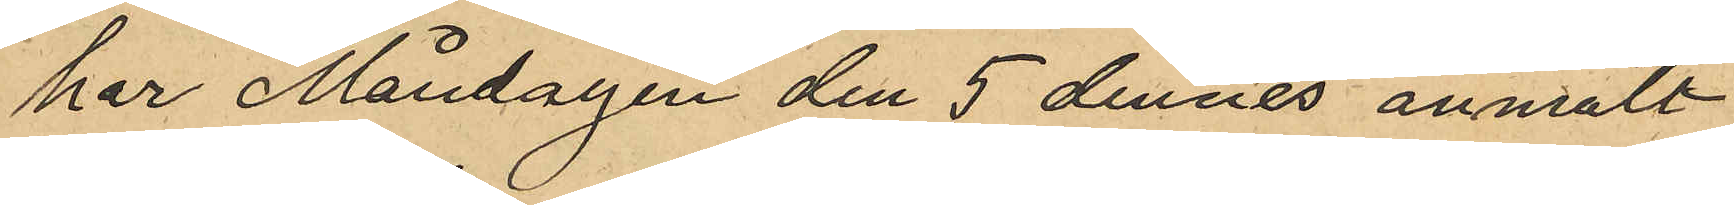har Måndagen den 5 dennes anmält
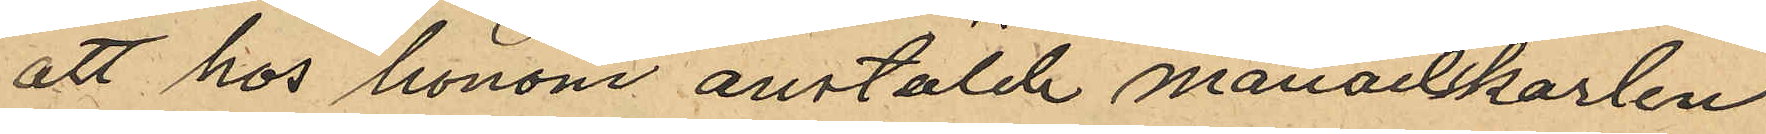att hos honom anstälde månadskarlen
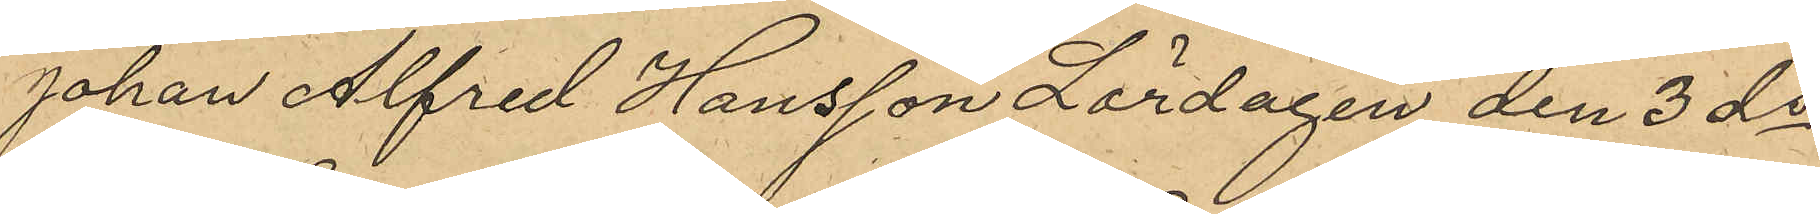Johan Alfred Hansson Lördagen den 3 ds
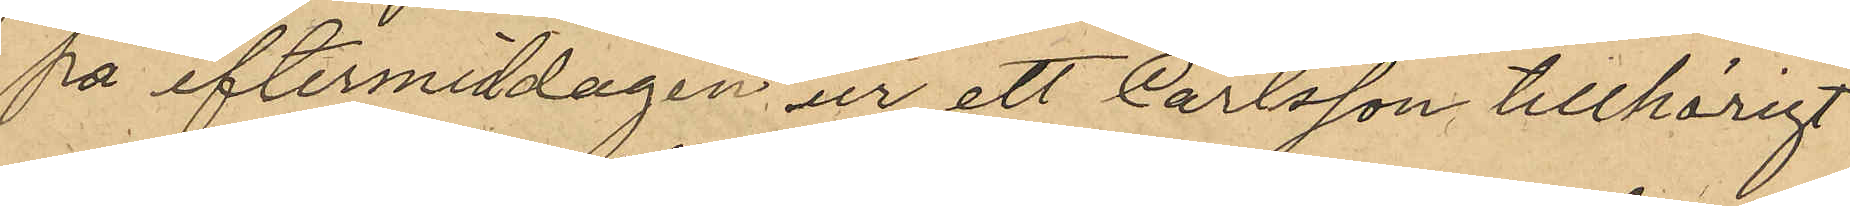på eftermiddagen ur ett Carlsson tillhörigt
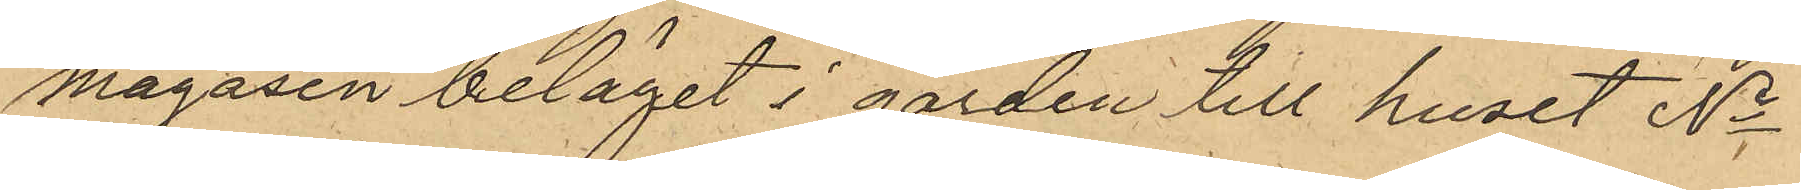magasin beläget i gården till huset No
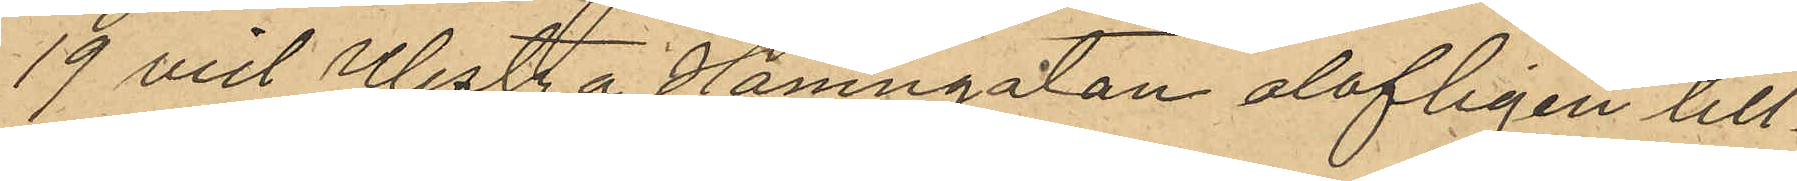19 vid Westra Hamngatan olofligen till¬
